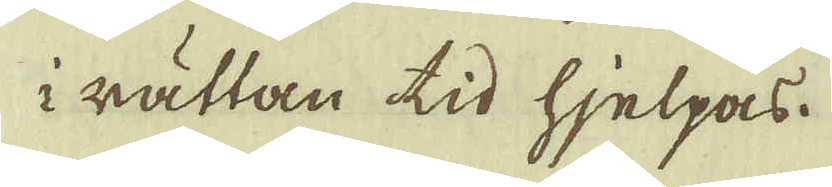i rättan tid hjelpas.
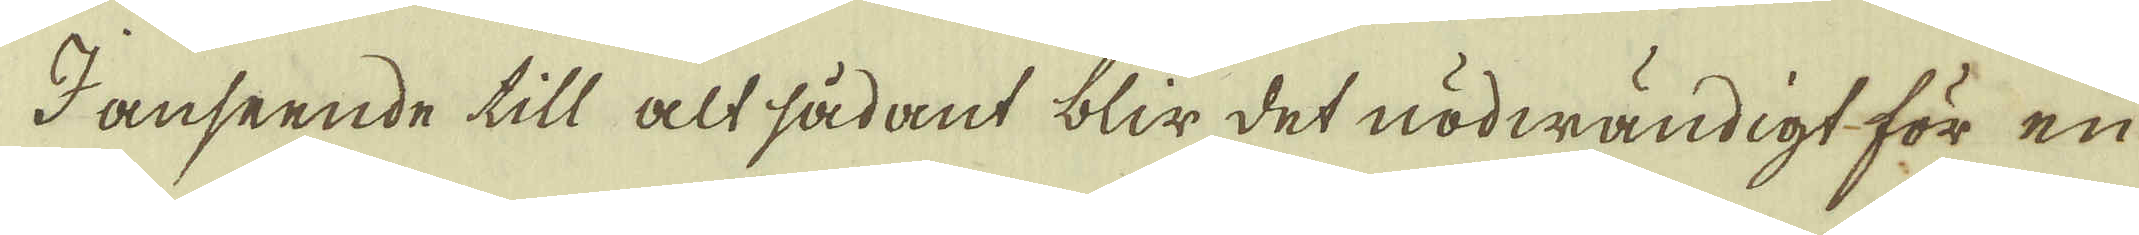I anseende till alt sådant blir det nödwändigt för en
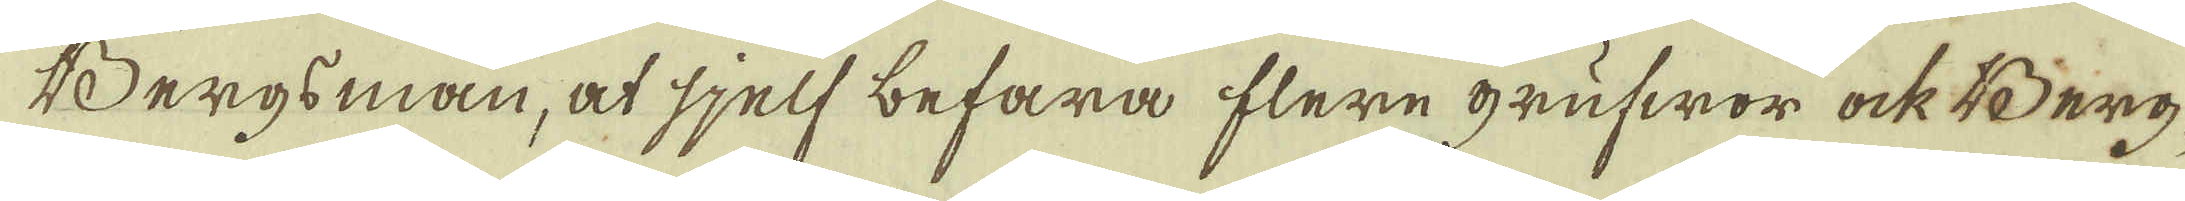Bergsman, at sjelf befara flere grufwor ock Berg-
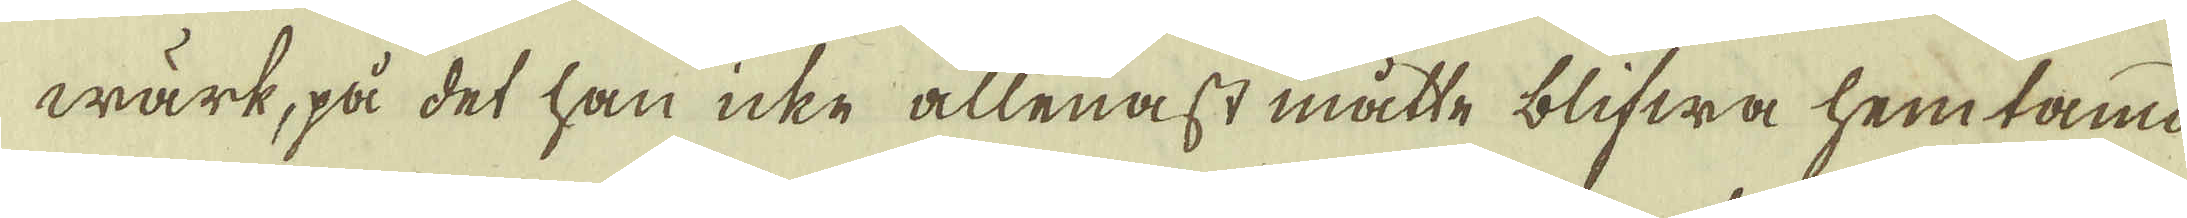wärk, på det han icke allenast måtte blifwa hemtamd
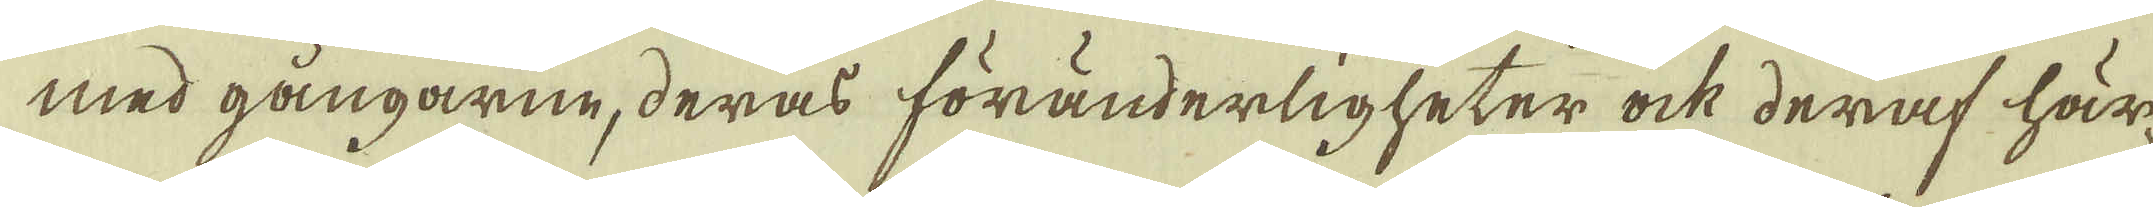med gångarne, deras föränderligheter ock deraf här-
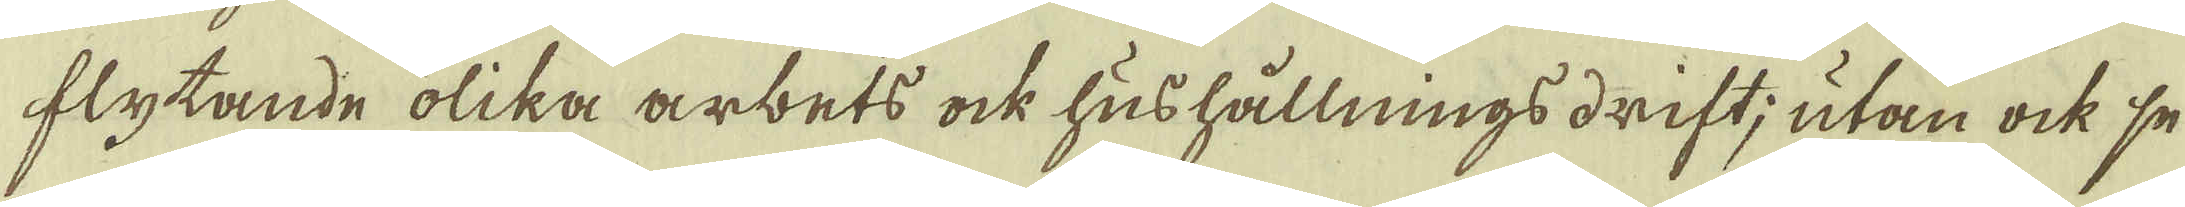flytande olika arbets ock hushållnings drift, utan ock se
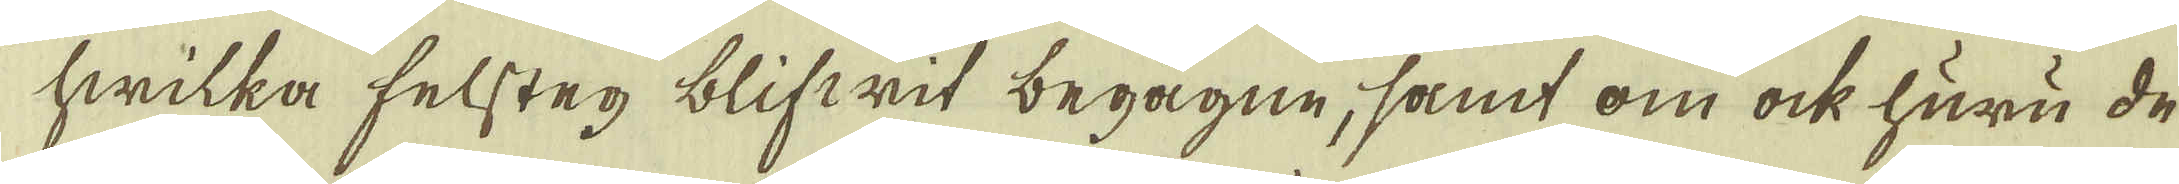hwilka felsteg blifwit begågne, samt om ock huru de
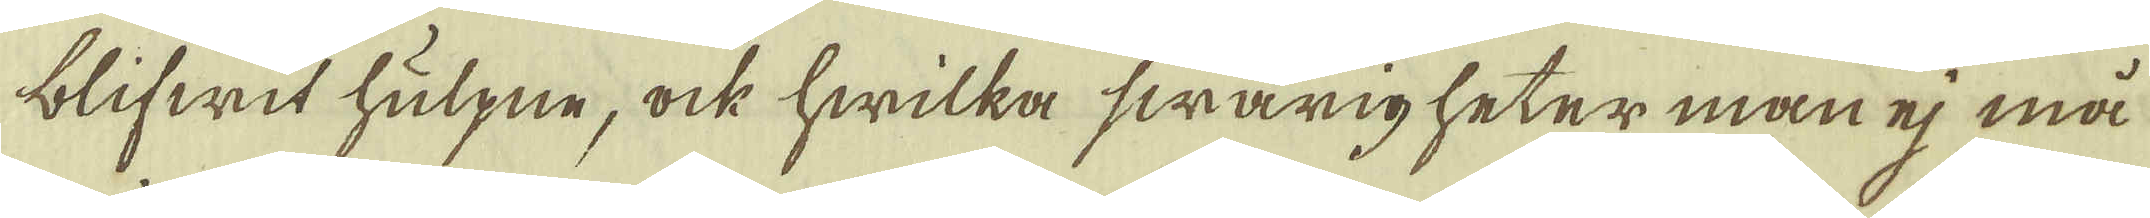blifwit hulpne, ock hwilka swårigheter man ej må
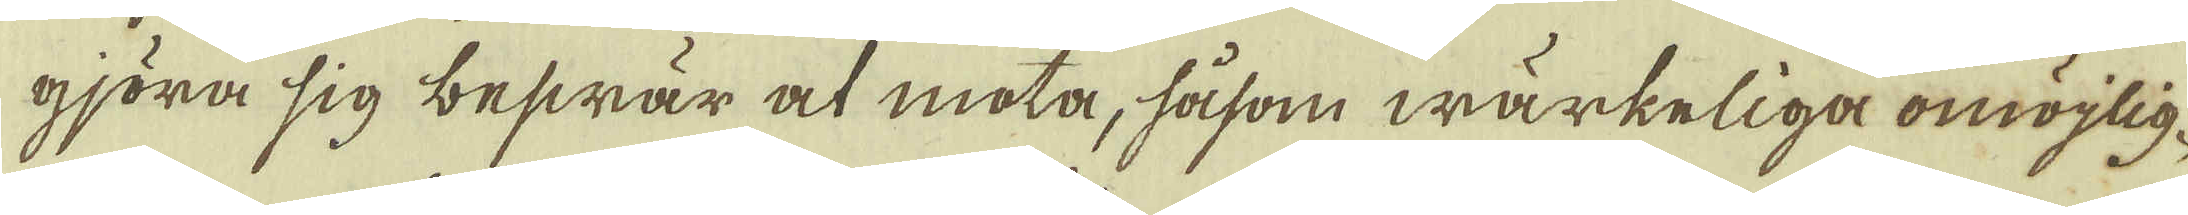gjöra sig beswär at mota, såsom wärkeliga omöjlig-
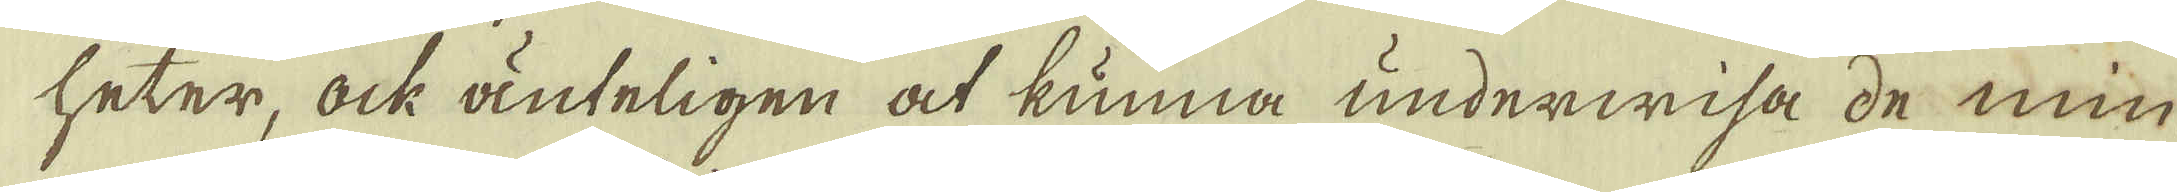heter, ock änteligen at kunna underwisa de min-
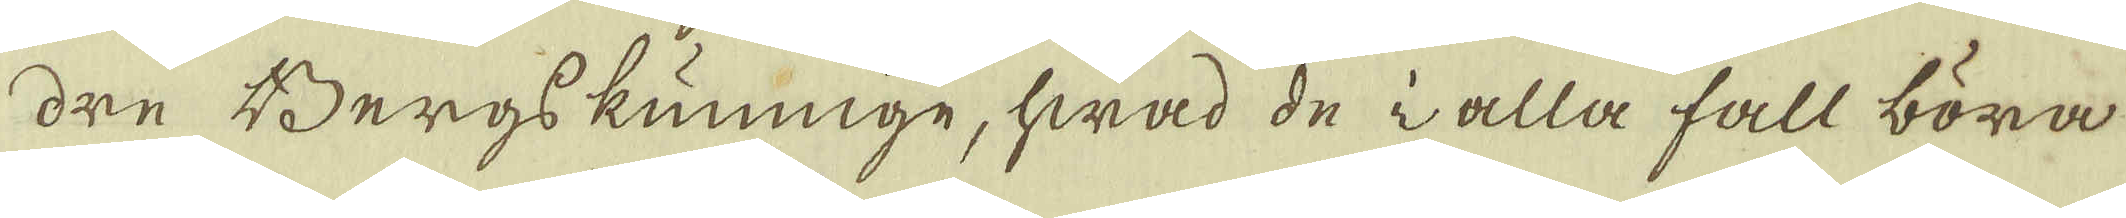dre Bergskunnige, hwad de i alla fall böra
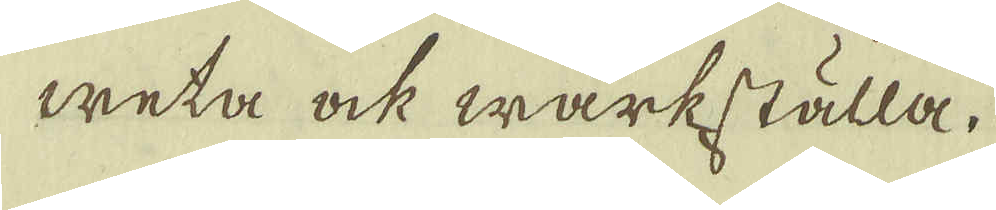weta ock wärkställa,
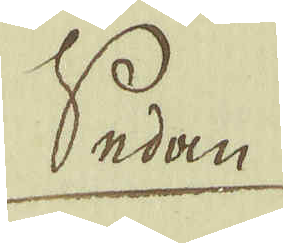Sedan
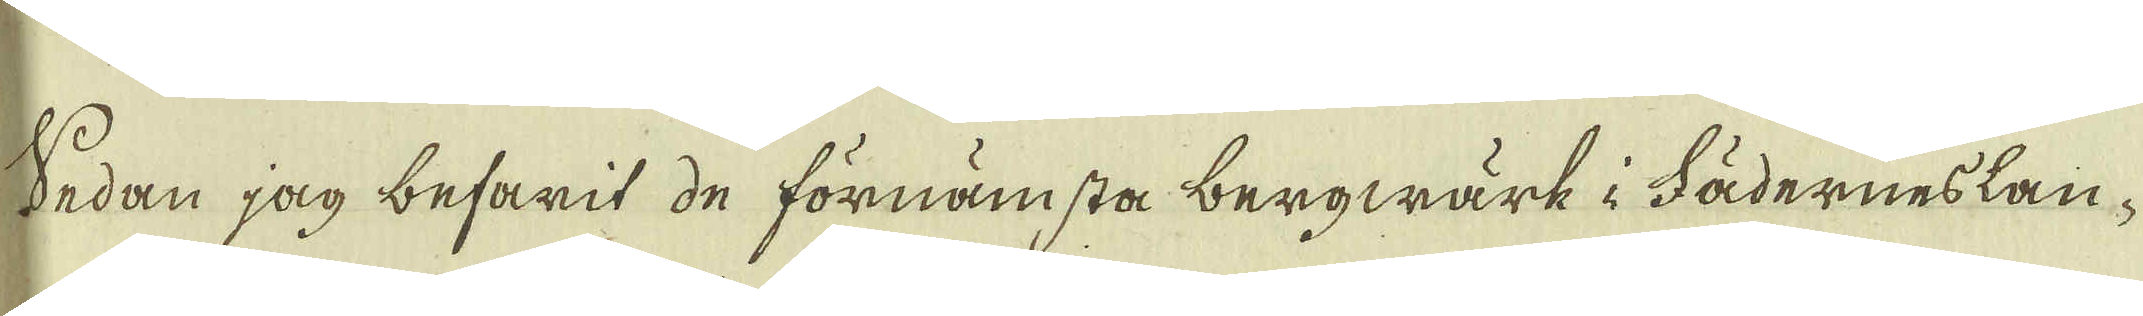Sedan jag befarit de förnämsta bergwärk i Fäderneslan-
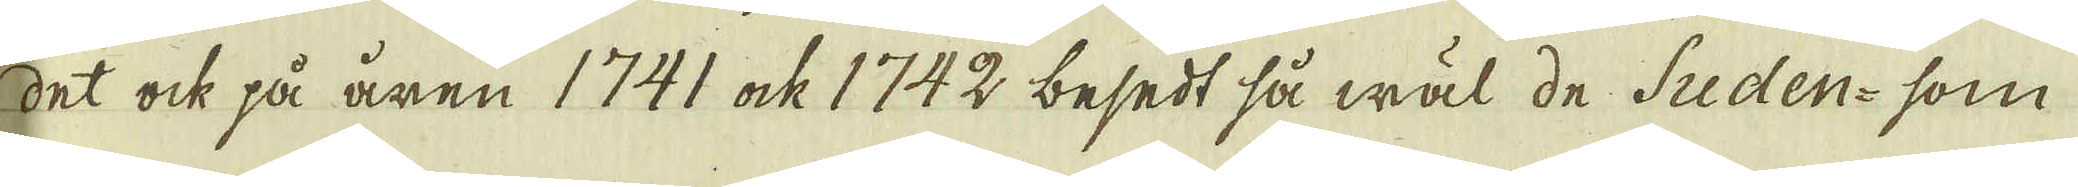det ock på åren 1741 ock 1742 besedt så wäl de Suden- som
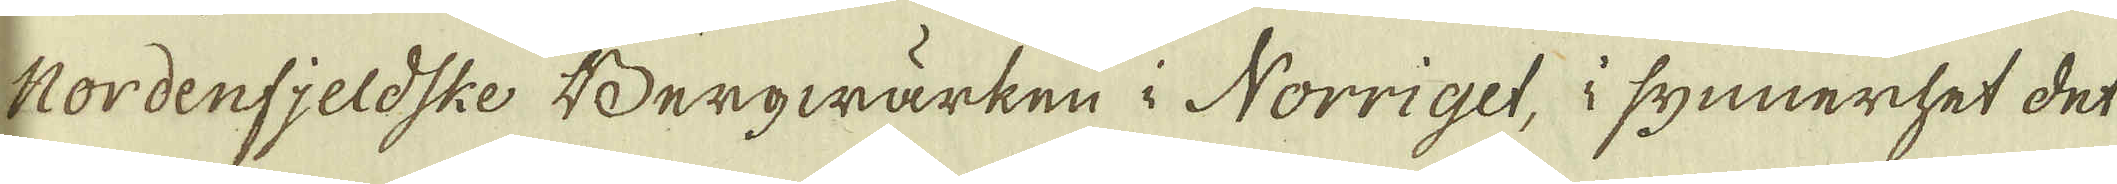Nordenfjeldske Bergwärken i Norriget, i synnerhet det
